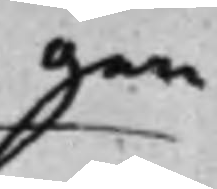gen
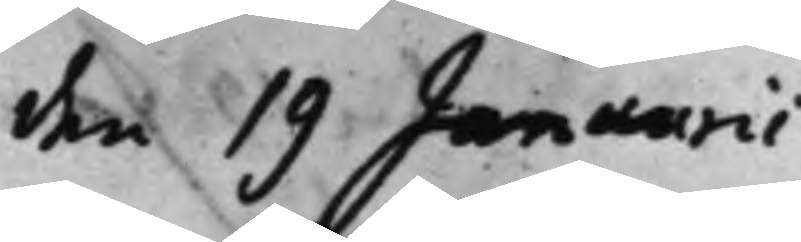den 19 Januarii
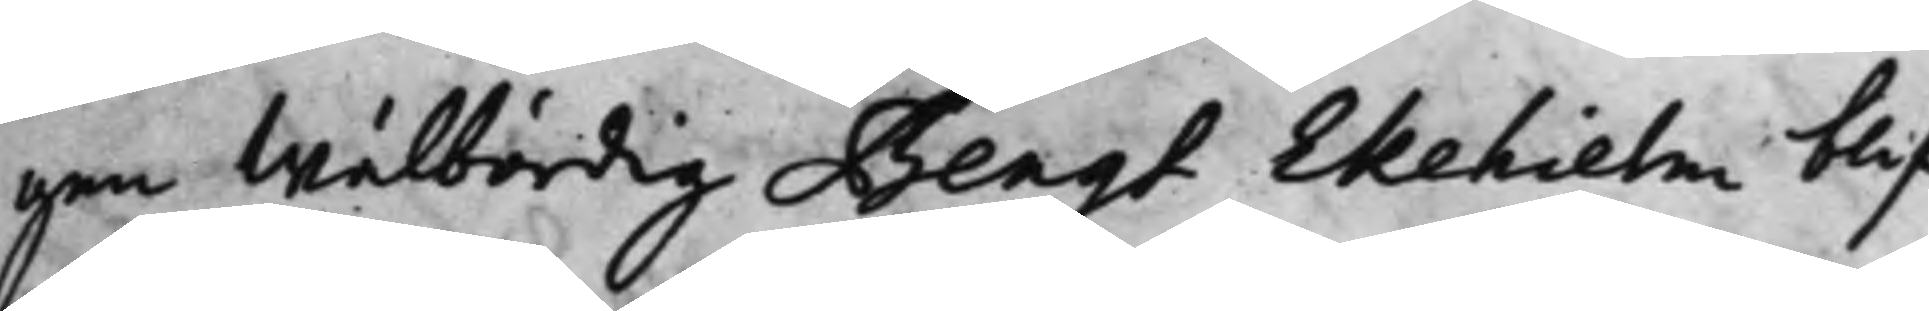gen Wälbördig Bengt Ekehielm blif¬
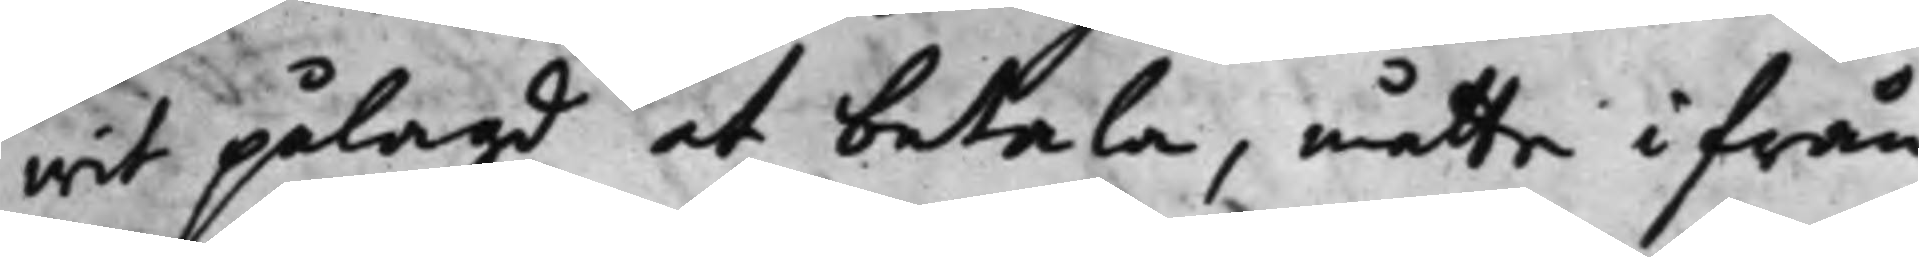wit pålagd at betala, måtte ifrån
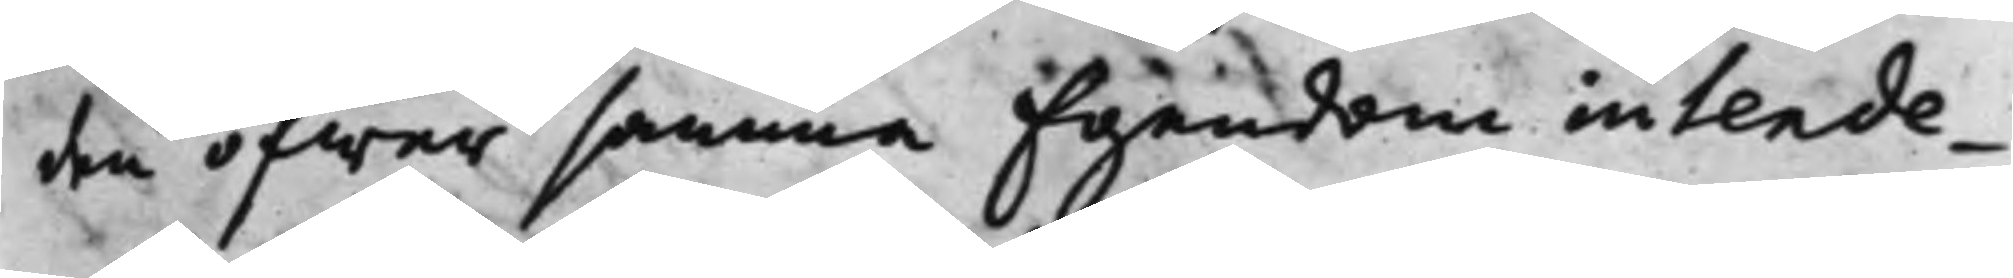den öfwer samma Egendom intende¬
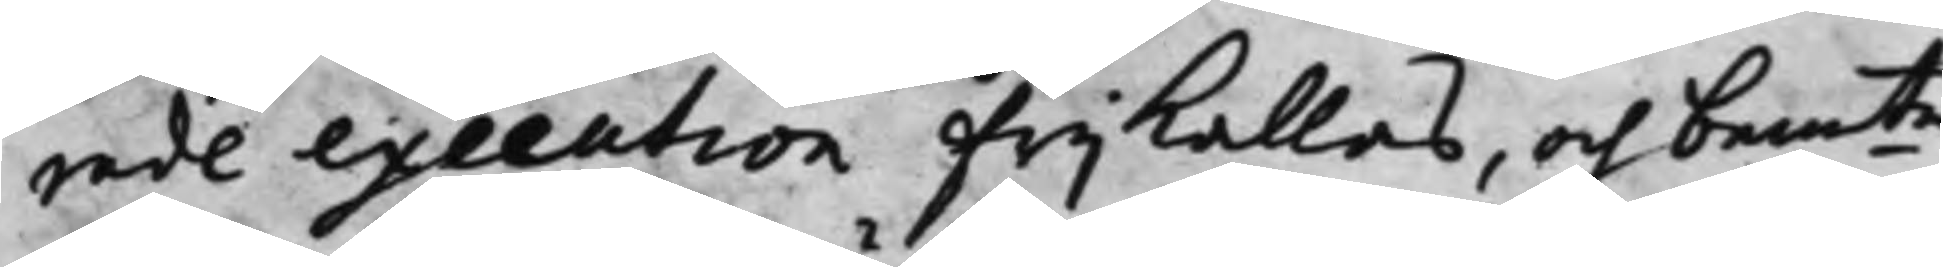rade execution Frijkallas, och bem.te
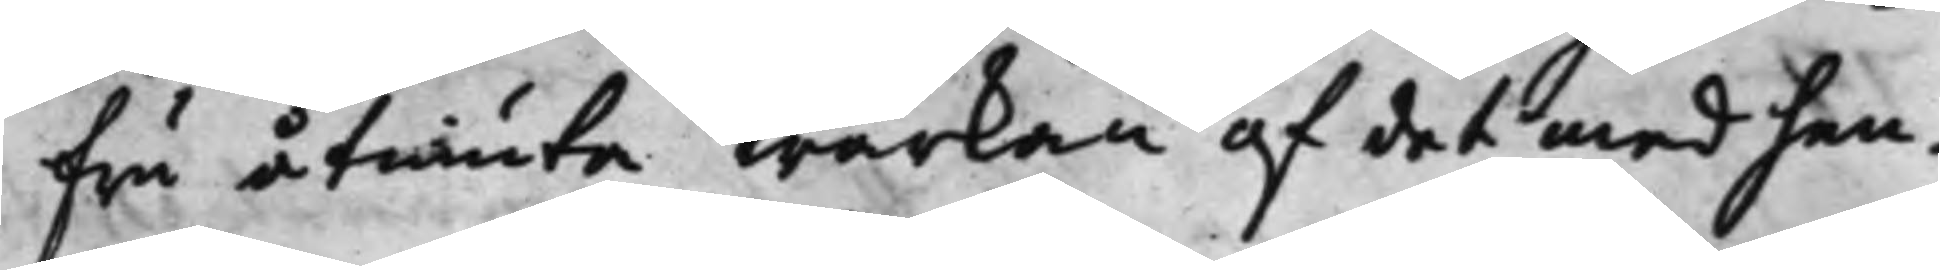Fru åtniuta wärkan af det med hen¬
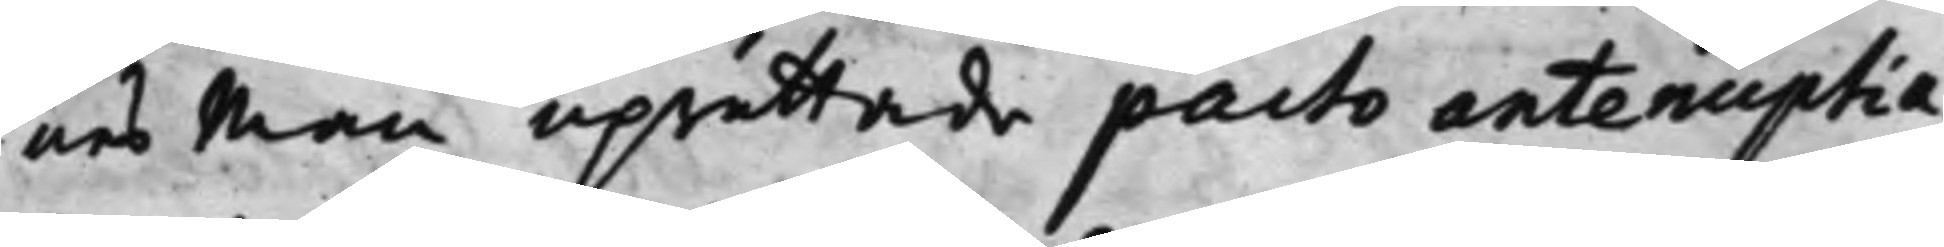nes Man uprättade pacto antenuptia¬
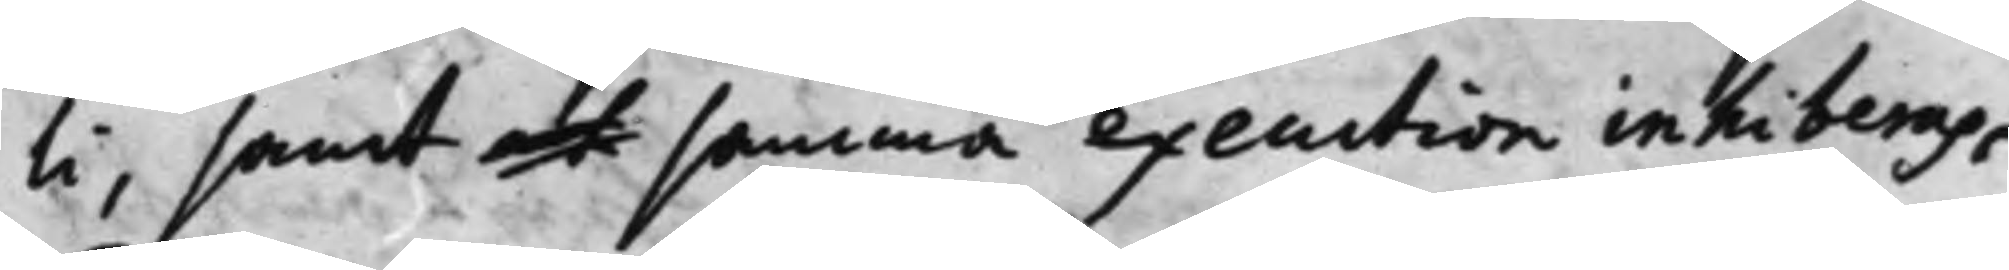li, samt at samma execution inhiberas,
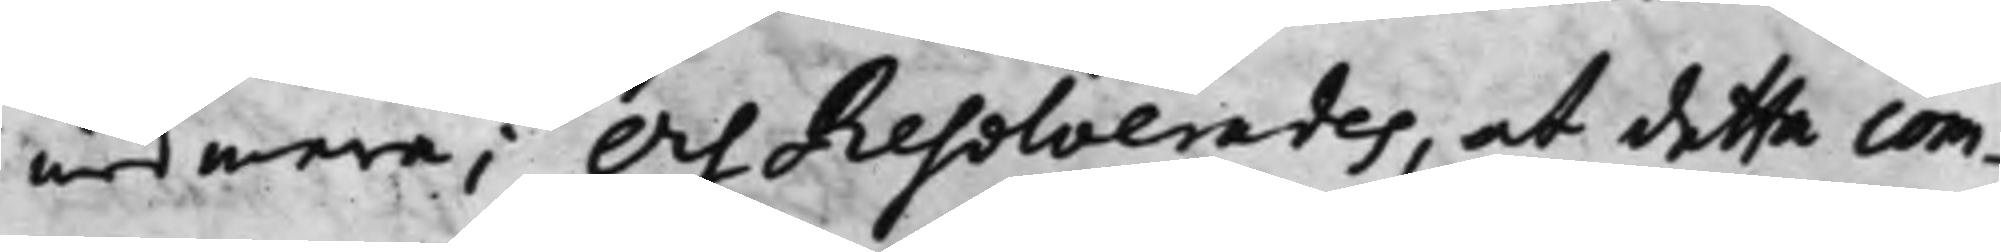med mera; Och Resolverades, at detta com¬
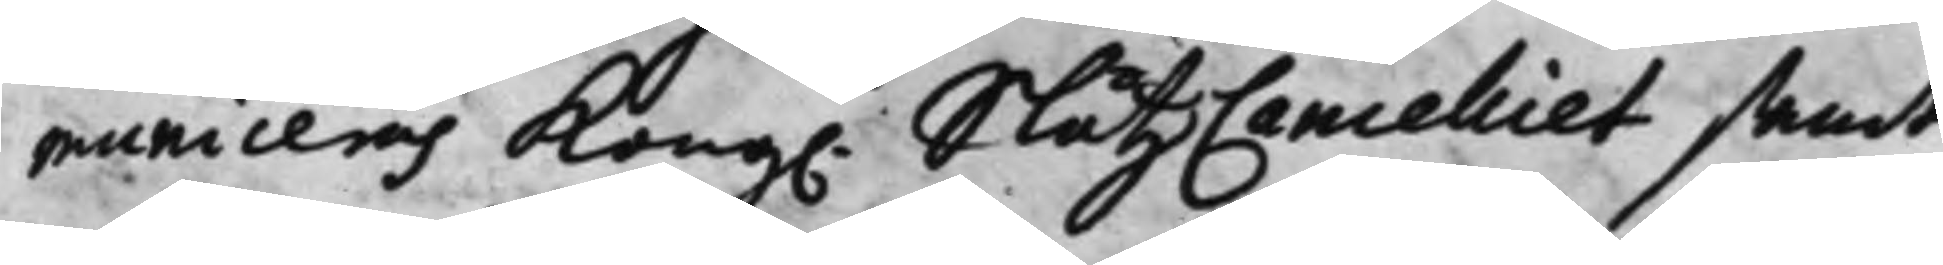municeras Kongl. SlåtzCancelliet samt
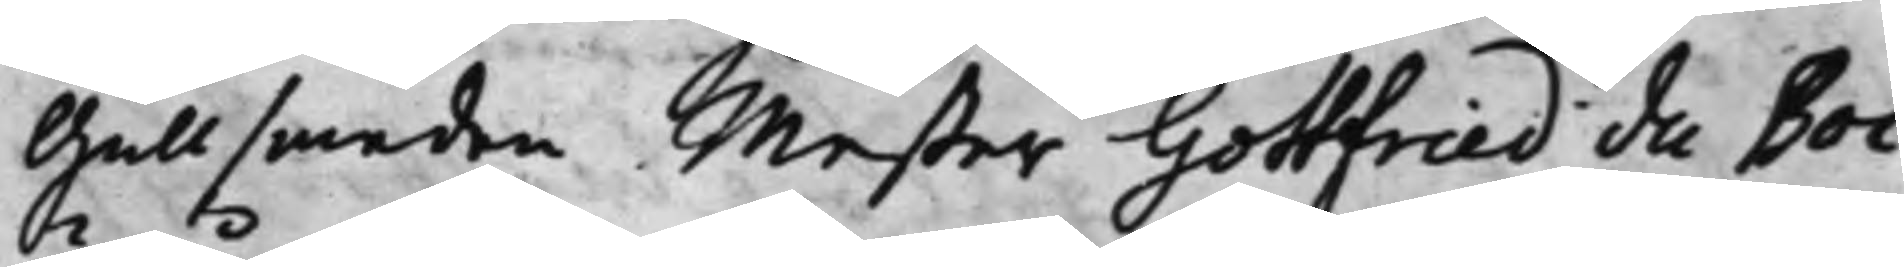Gullsmeden Mester Gottfried du Boi
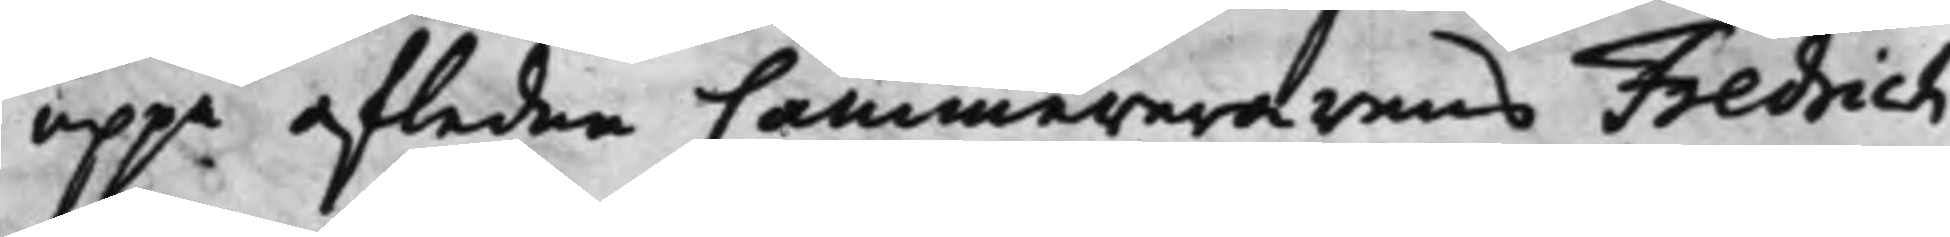uppå afledne Cammererarens Fredrich
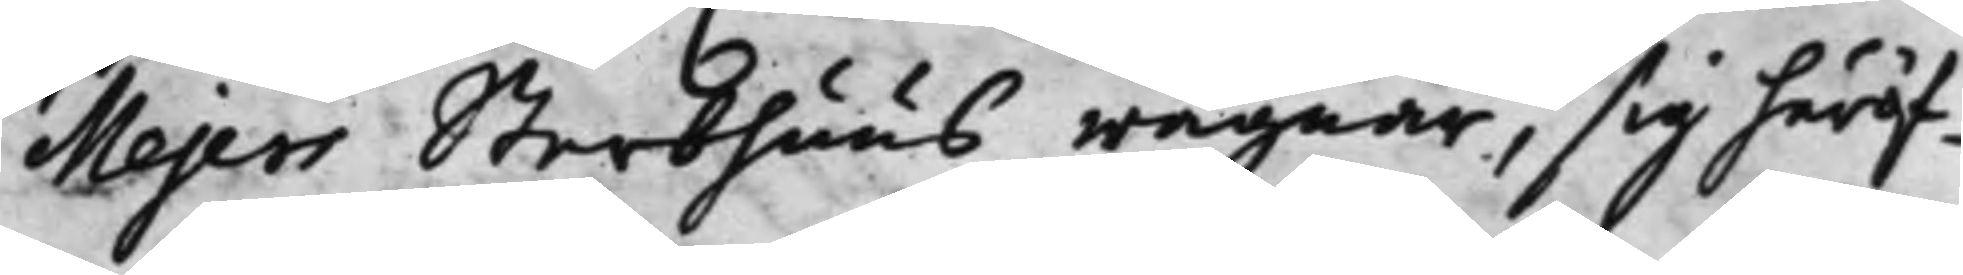Mejers Sterbhuus wägnar, sig häröf¬
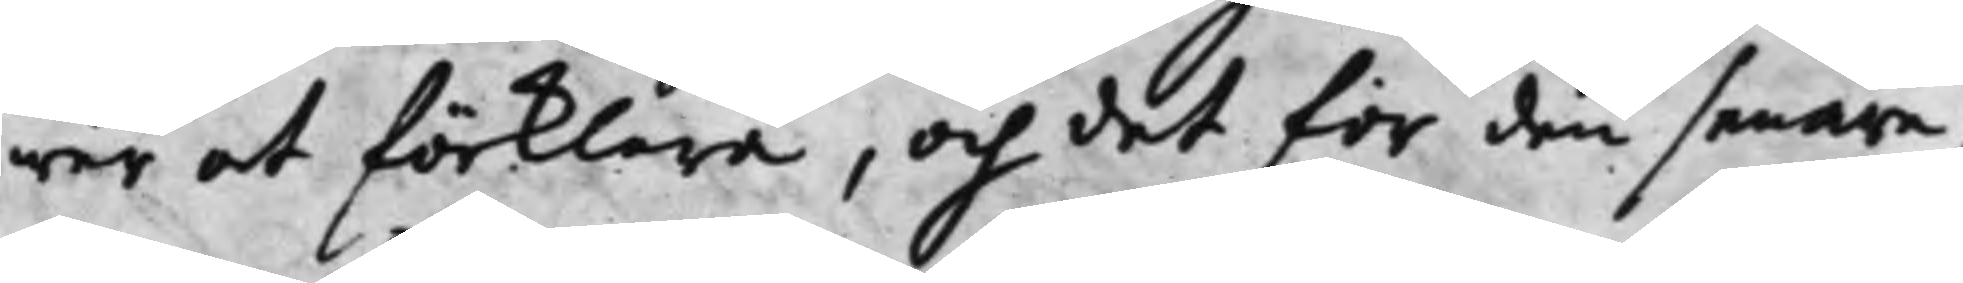wer at förklara, och det för den senare,
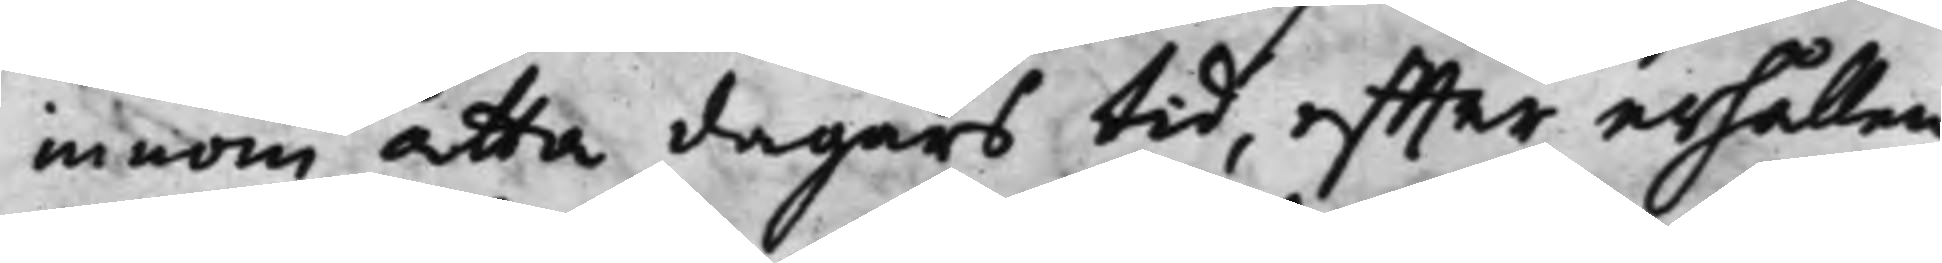innom åtta dagars tid, effter erhållen
